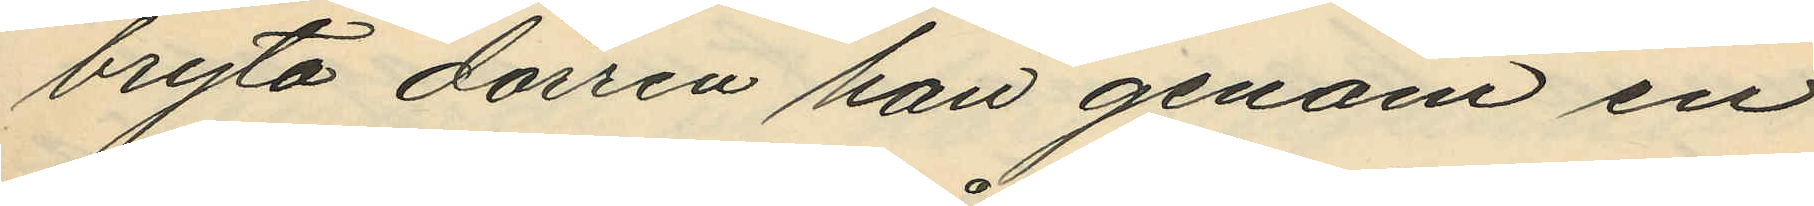bryta dörren han genom en
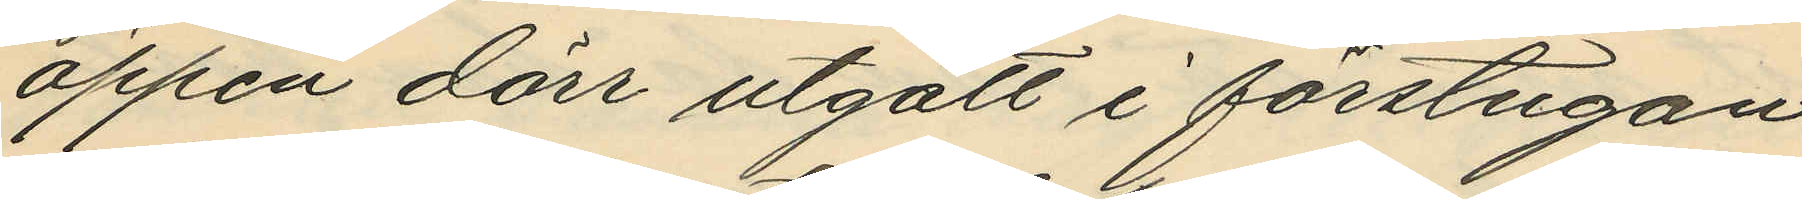öppen dörr utgått i förstugan
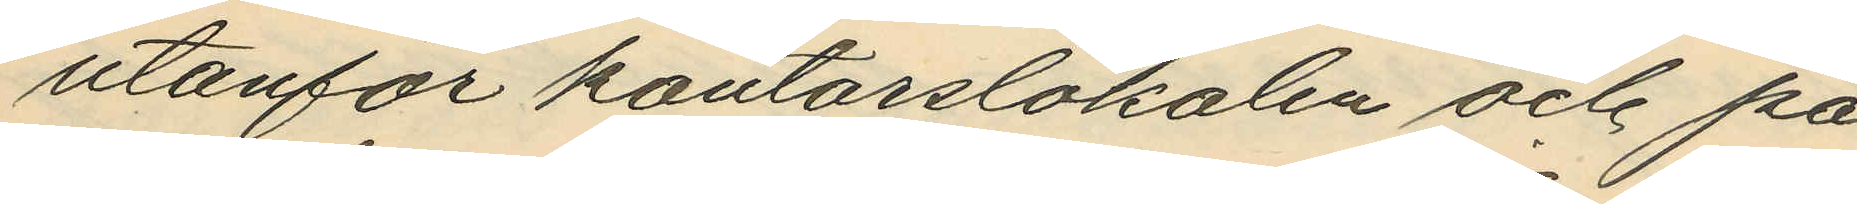utanför kontorslokalen och på
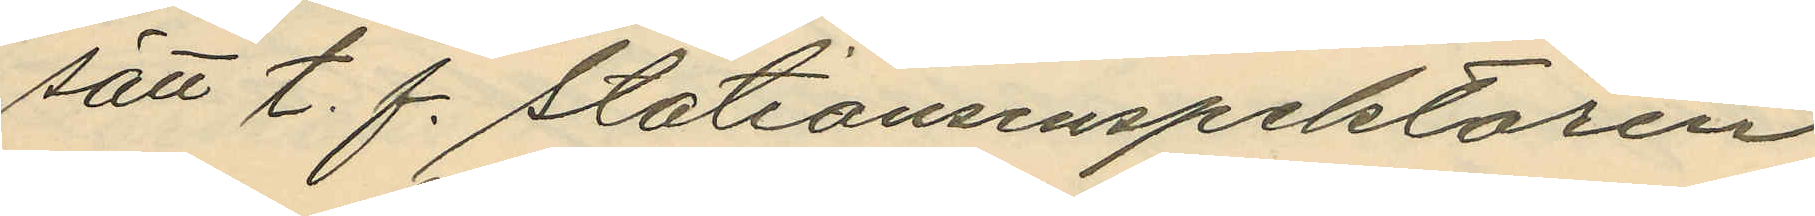sätt t. f. Stationsinspektören
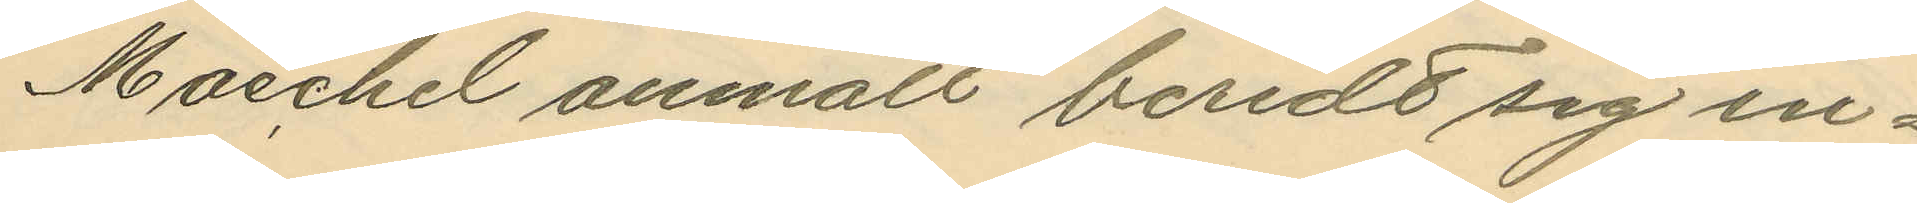Maechel anmält beredt sig in¬
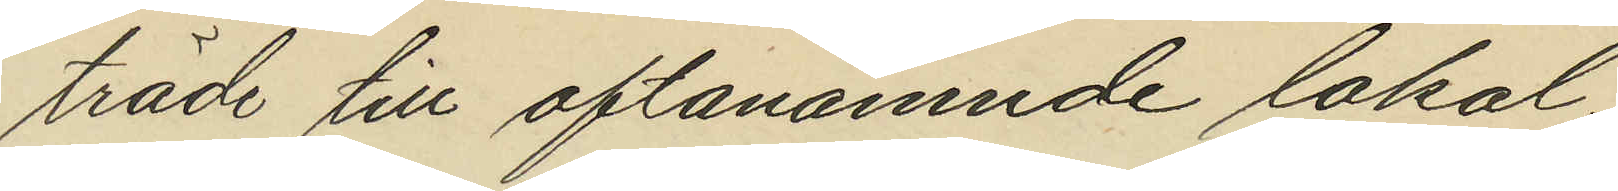träde till oftanämnde lokal;
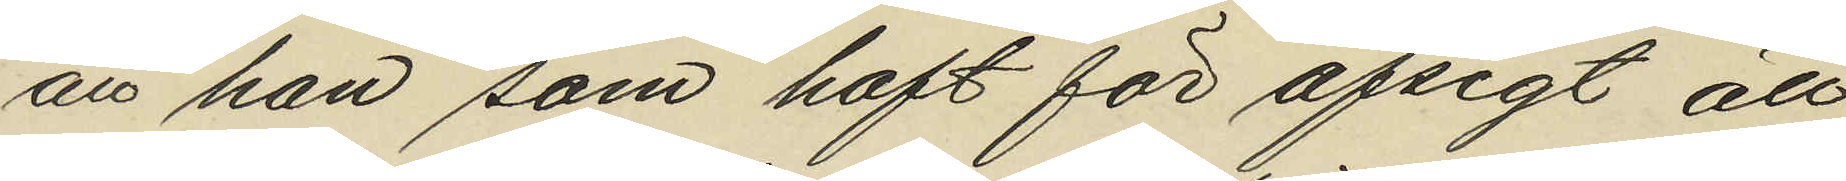att han som haft för afsigt att
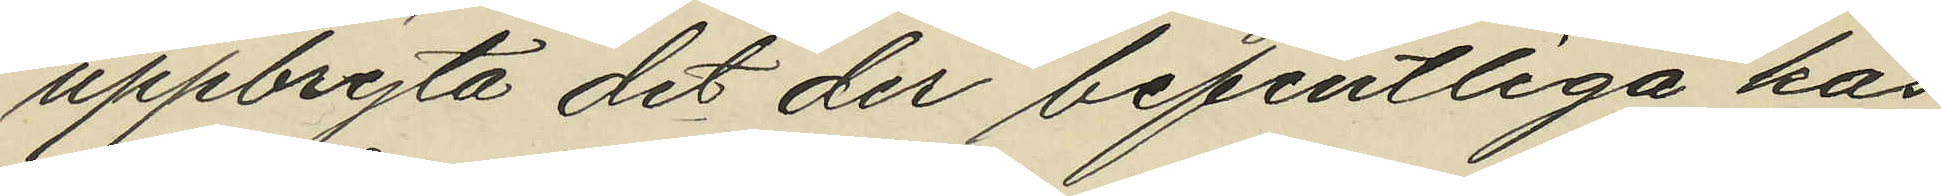uppbryta det der befintliga kas¬
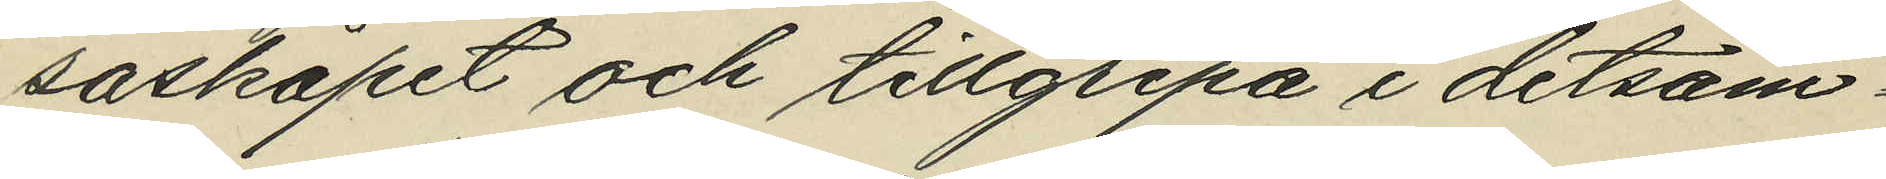saskåpet och tillgripa i detsam¬
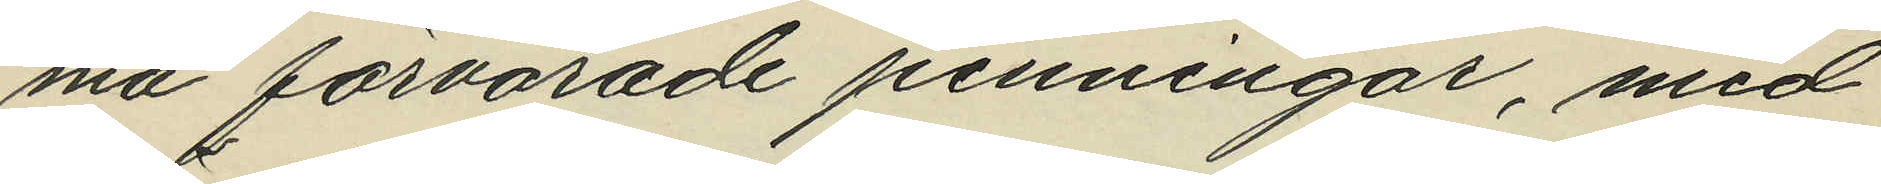ma förvarade penningar, med
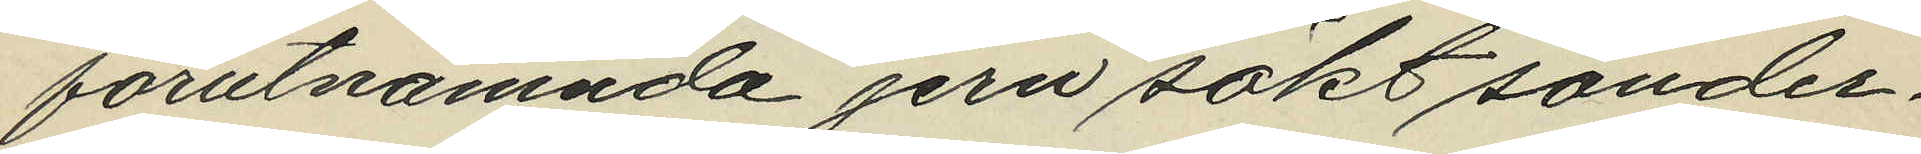förutnämnda jern sökt sönder¬
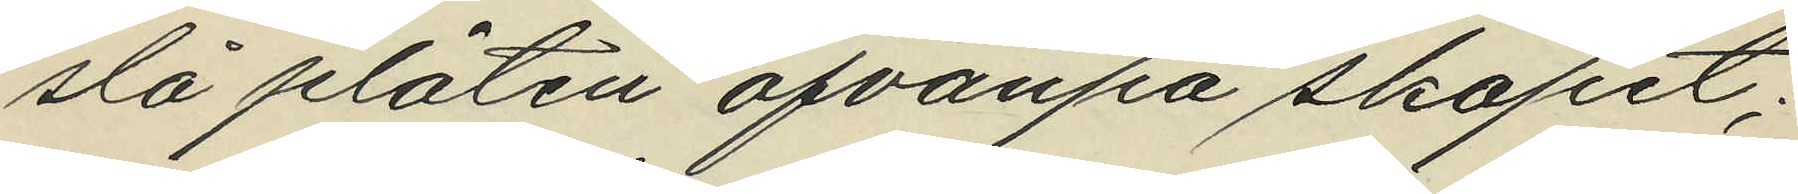slå plåten ofvanpa skåpet;
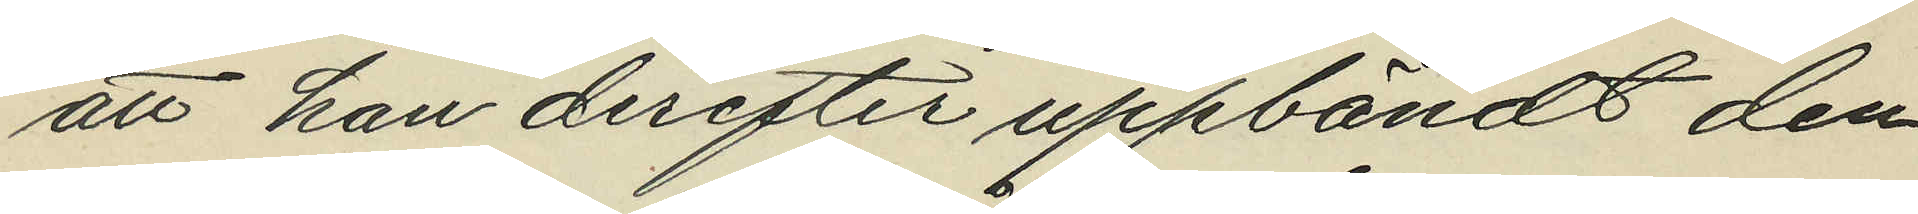att han derefter uppbändt den
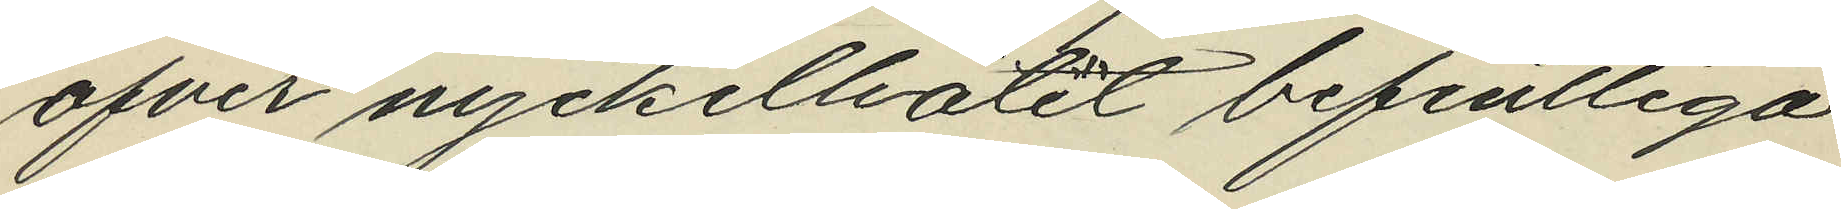ofver nyckelhålet befintliga
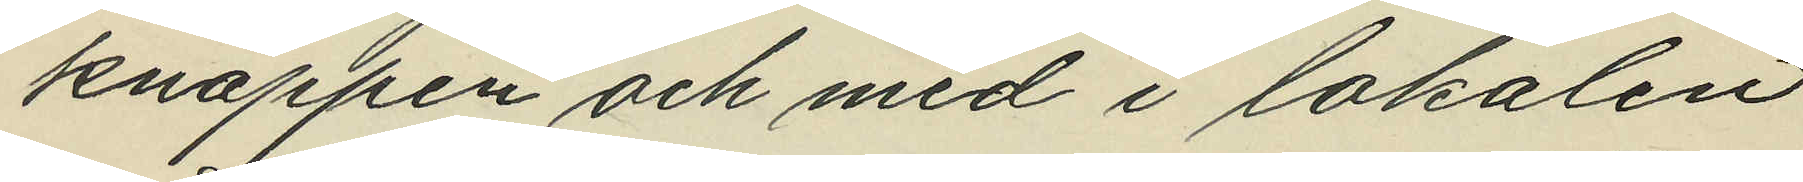knappen och med i lokalen
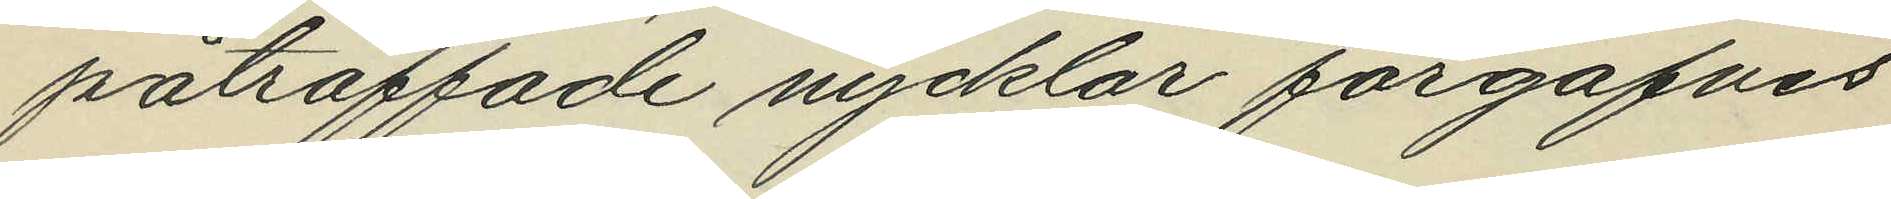påträffade nycklar förgäfves
